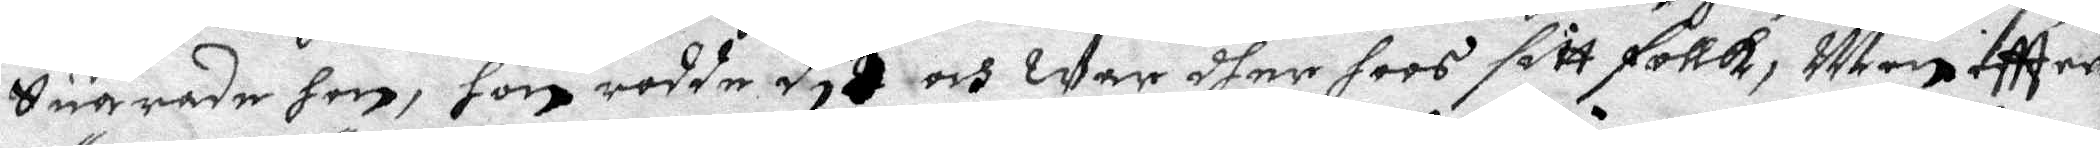Suarade  hon, hon rodde dit och war dher hoos sitt follk, Men eftter
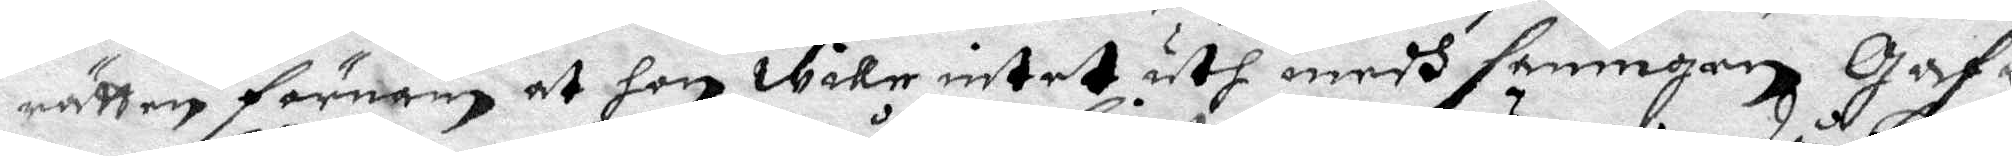rätten förnam at hon wille intet uth medh sanningen Gaf
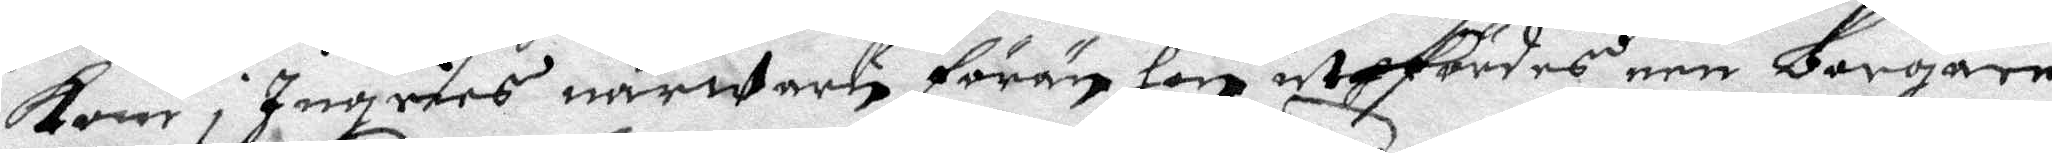kom i Ingres närwaru förän hon utflrdes een borgare
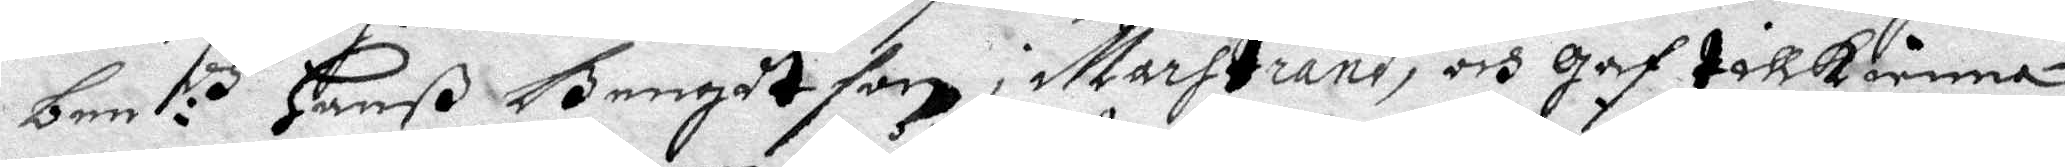ben:th Hanß Bengdtson i Marstrand, och gaf tillkänna,
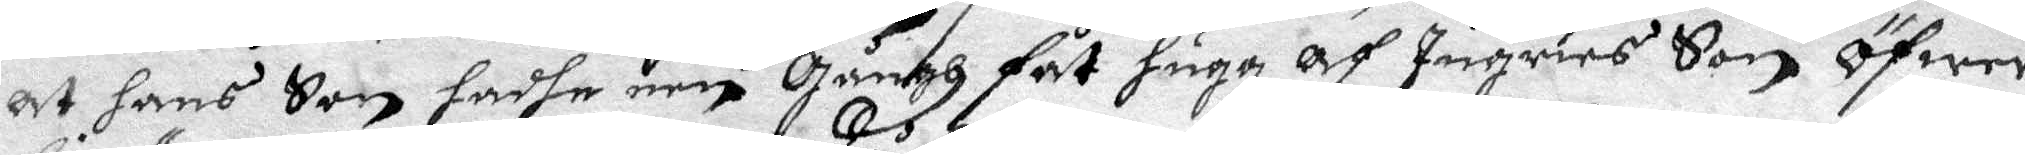at hans Son hadhe een Gångh fåt hugg af Ingrins Son Öfwer
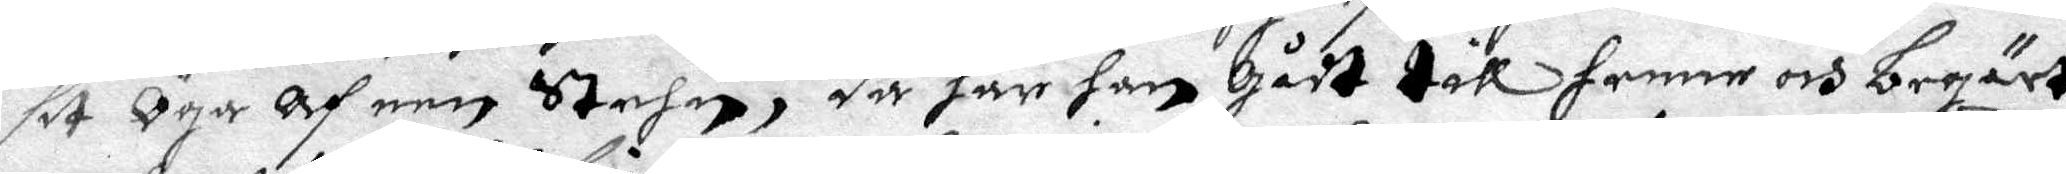sit Öga Af een Stehn, då har han Gådt till henne och begärt
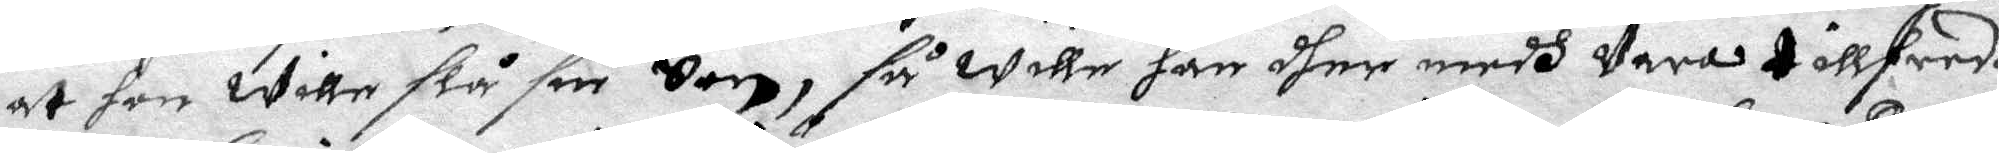at hon wille slå sin Son, så wille han dher medh Vara tillfredz
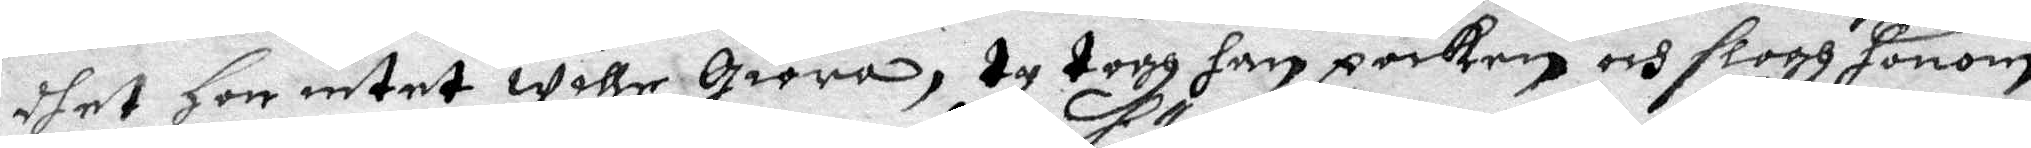dhet Hon intet wille Giöra, ty togh han poiken och slogh honom
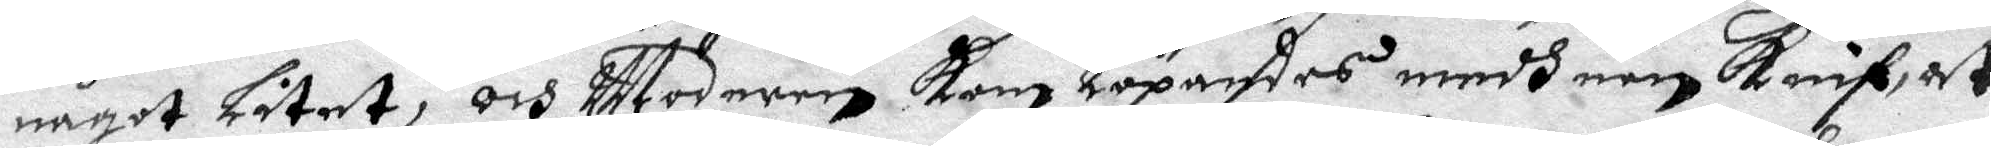något Litet, och Modern kom Löpandes medh een knif, at
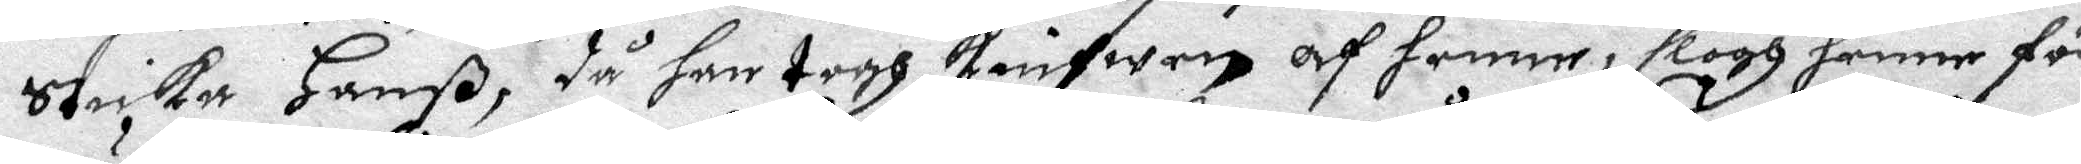sticka Hanß, då han togh knifwen af henne, slogh henne för
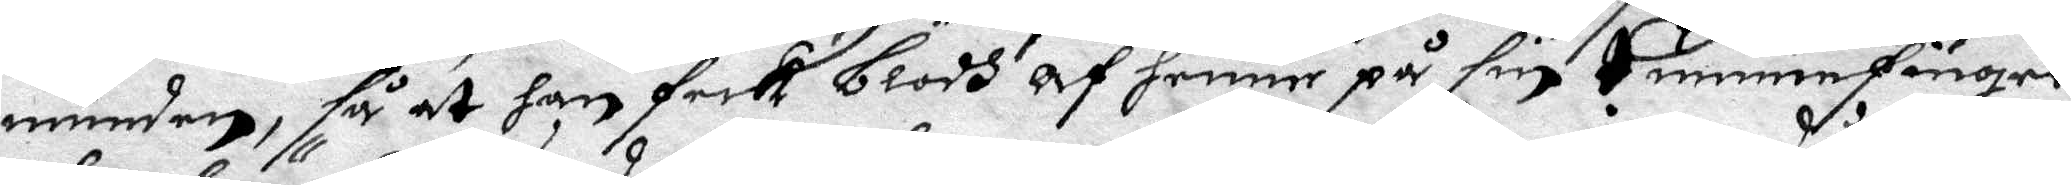munden, så at han feck blodh af henne på sin tummefiner,
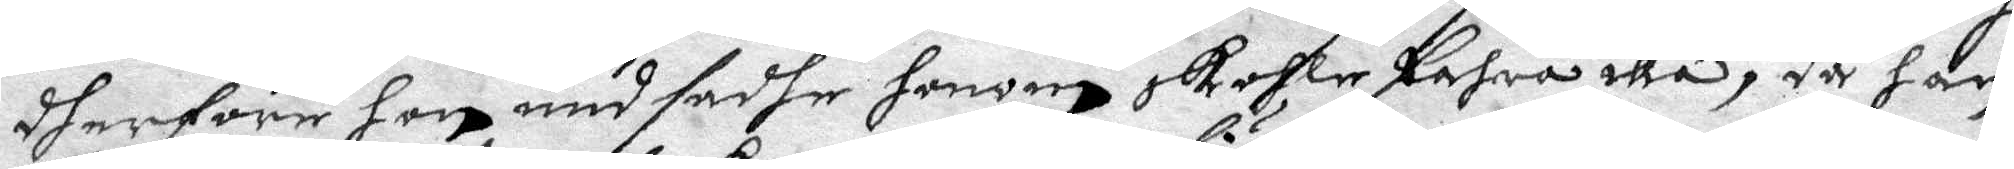dherföre hon undsadhe honom skohle fahra illa, då han
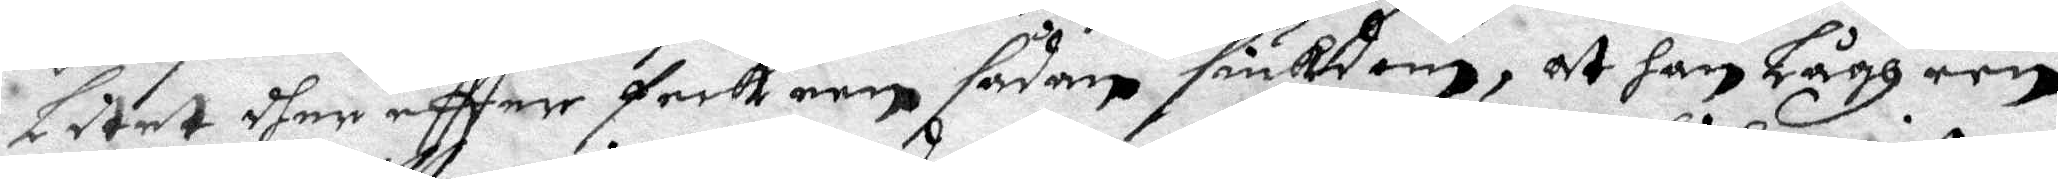Litet dher eftter feck een sådan siukdom, at han Lågh een
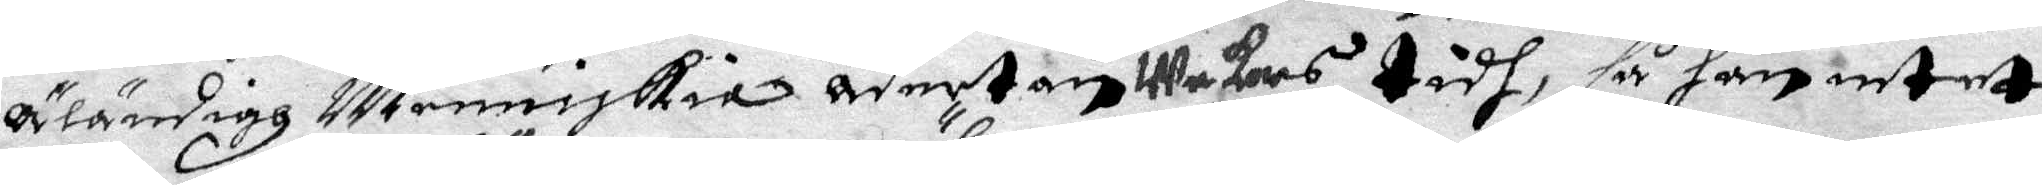Äländigh Menniskia aderton wekors tidh, så han intet
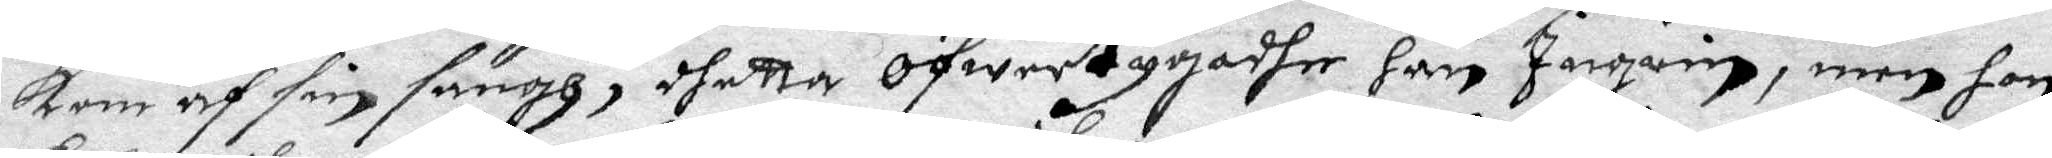kom af sin sängh, dherra öfwertygadhe han Ingrin, men hon
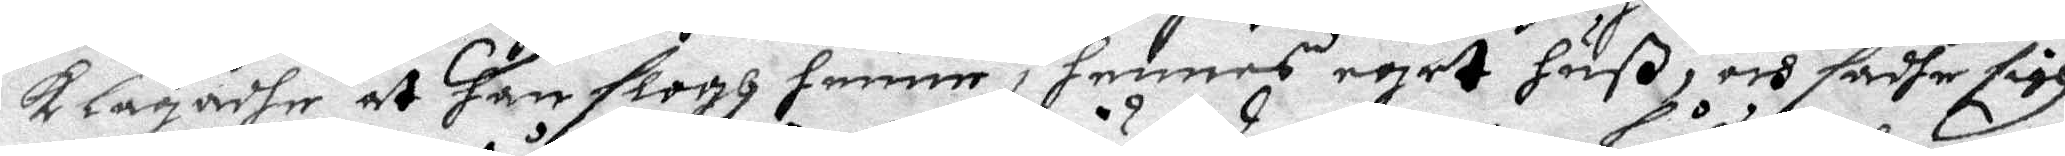klagadhe at han slogh henne i hennes eget huß, och sadhe sigh
